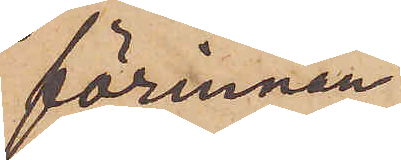förinnan
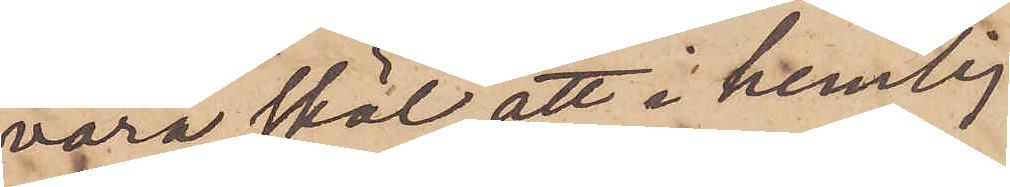vara skäl att i hemlig¬
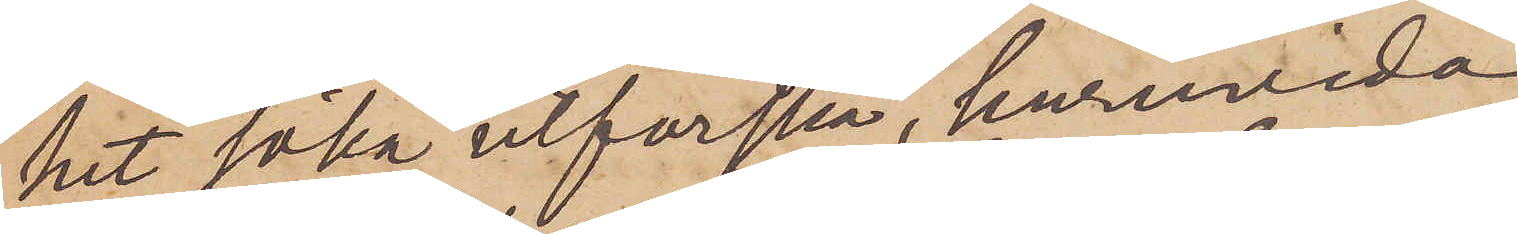het söka utforska, huruvida
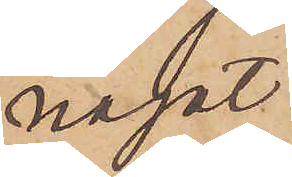något
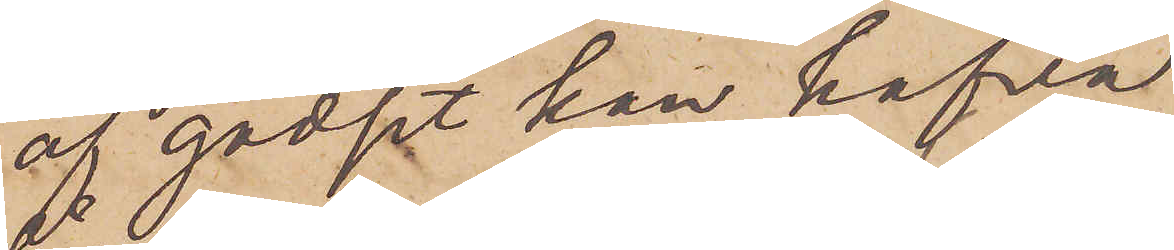af godset kan hafva
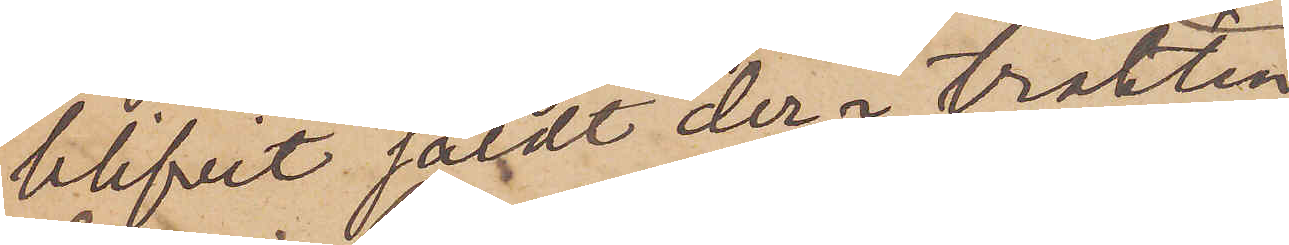blifvit såldt der i trakten.
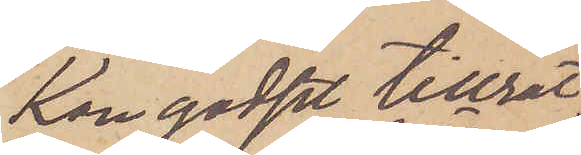Kan godset tillrät¬
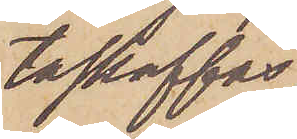taskaffas,
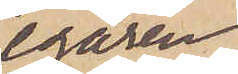egaren
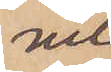vil¬
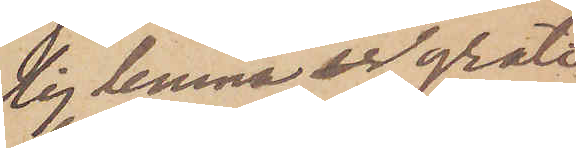lig lemna en grati¬
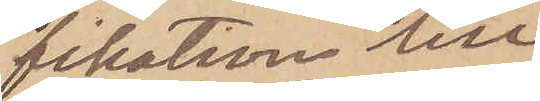fikation till
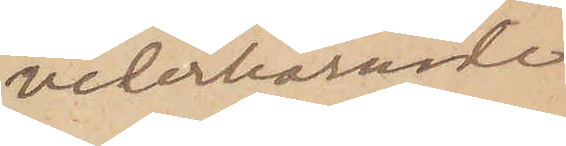veterbörande.
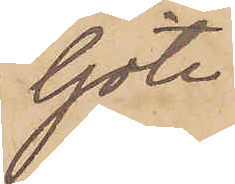Göte¬
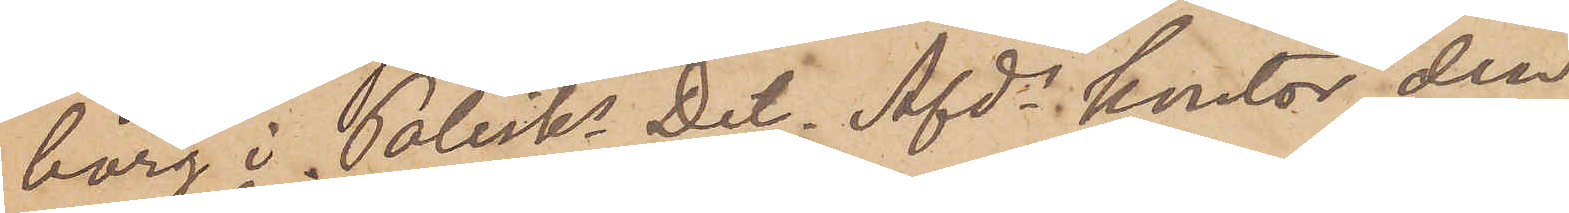borg i Polisks Det. Afds kontor den
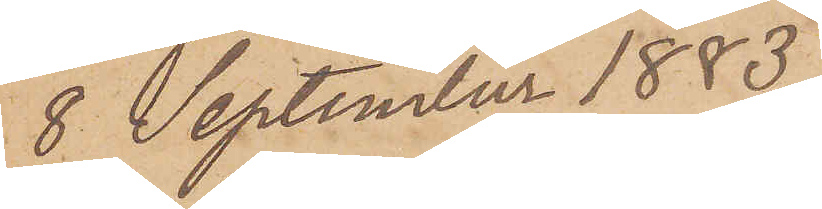8 September 1883.
